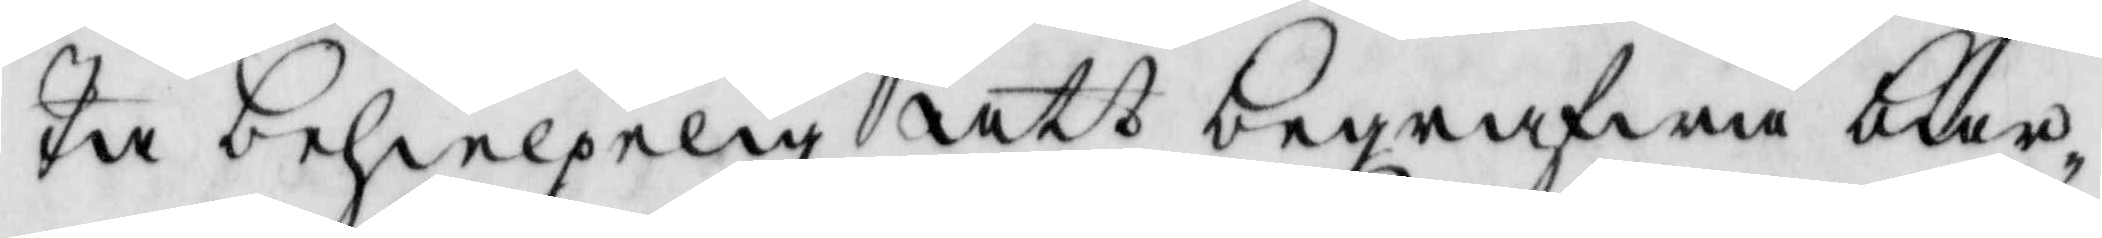ta behielpelig att begrafwa bar¬
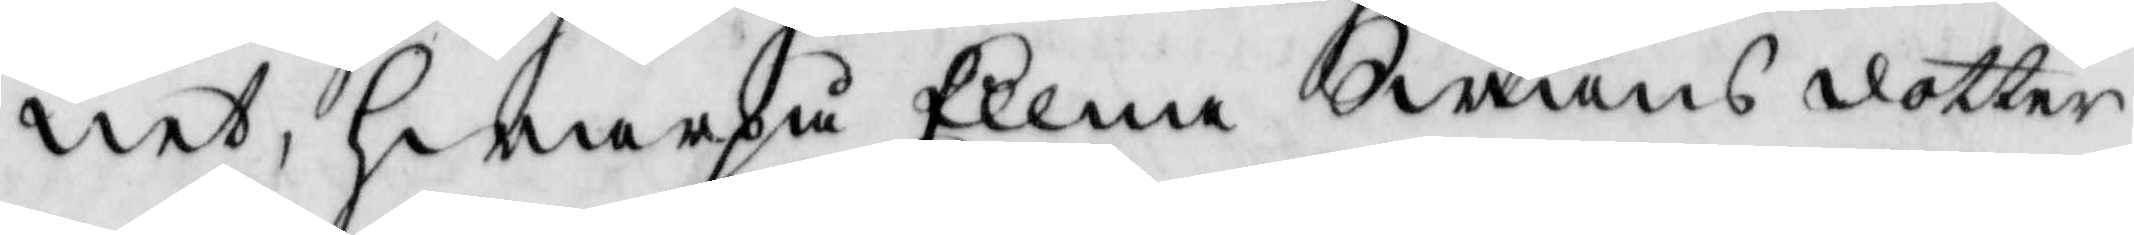net, hwarpå Ellna Swäns dotter
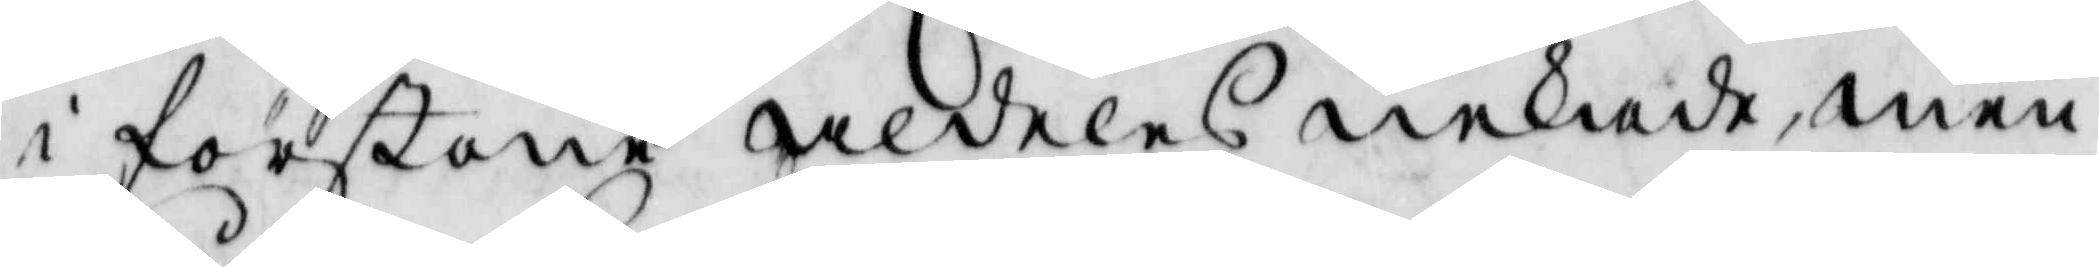i förstone aldeles nekade, men
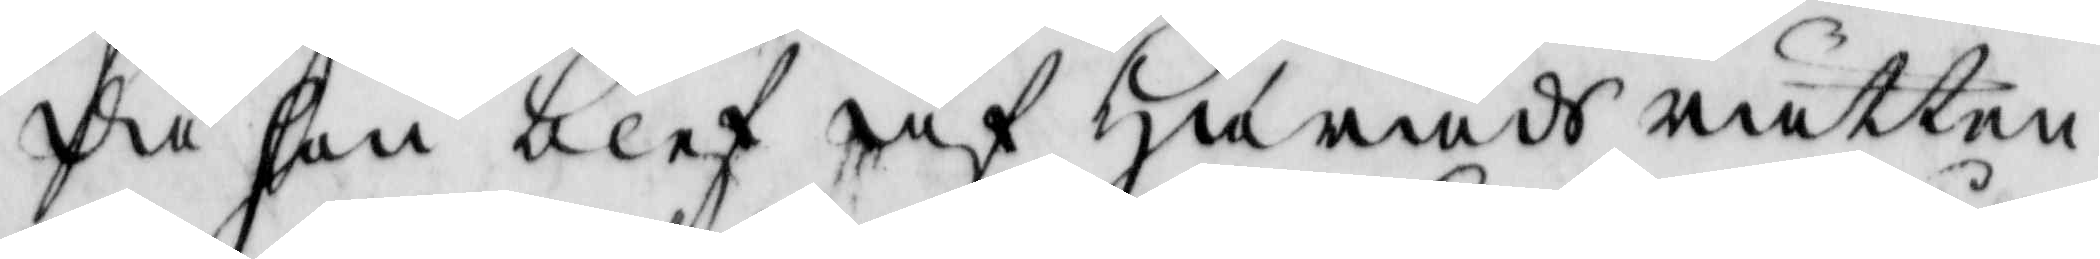då hon blef af Härads rätten
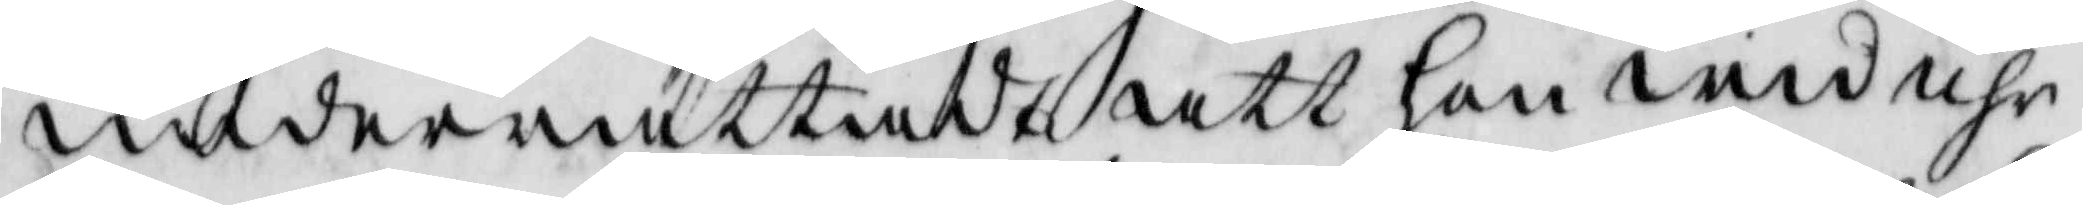underrättadt att hon wid uhr¬
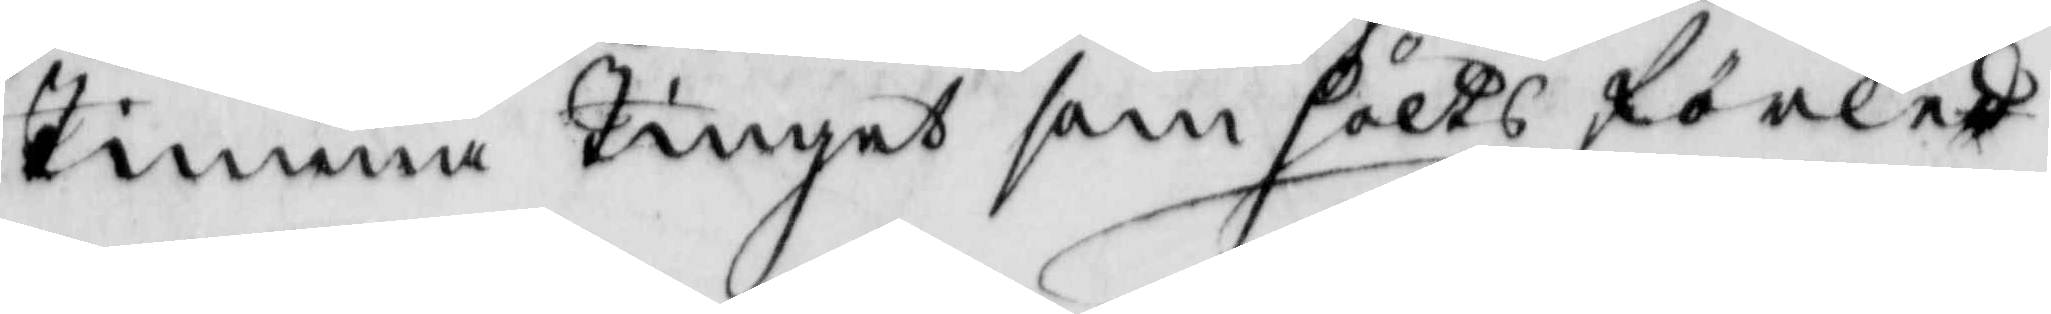Timma Tinget som höltz förled¬
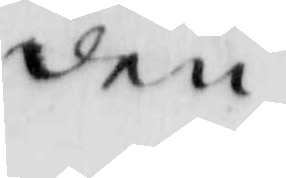den
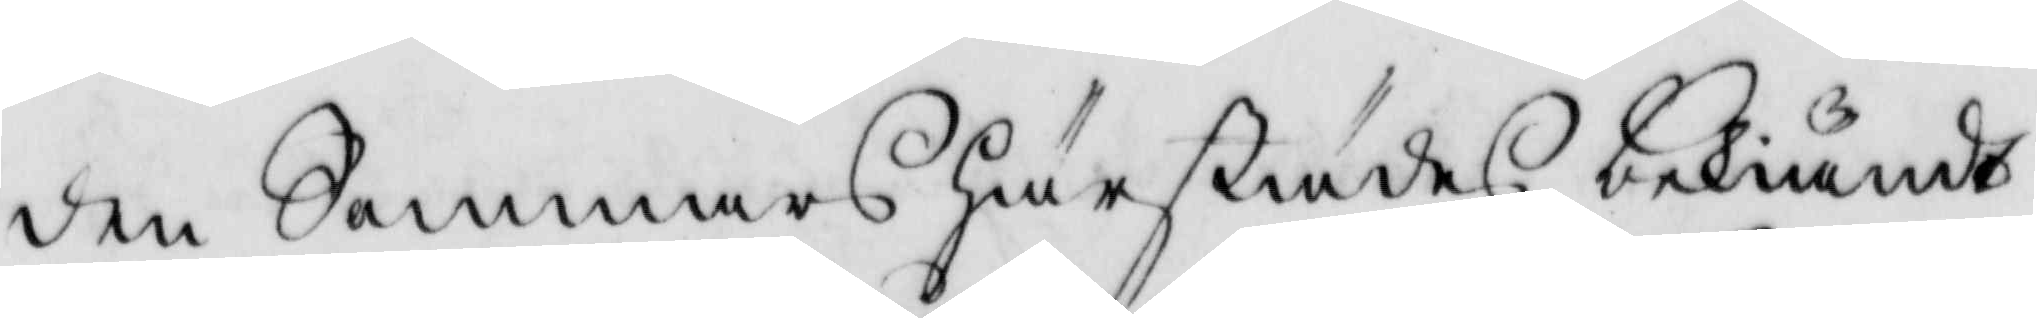den Sommars härstädes bekiändt
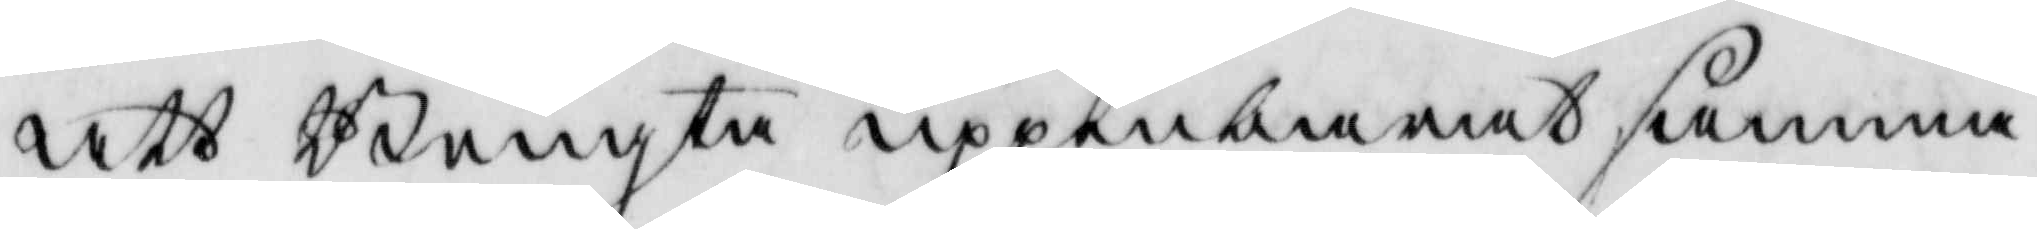att Bengta uppenbarat samma
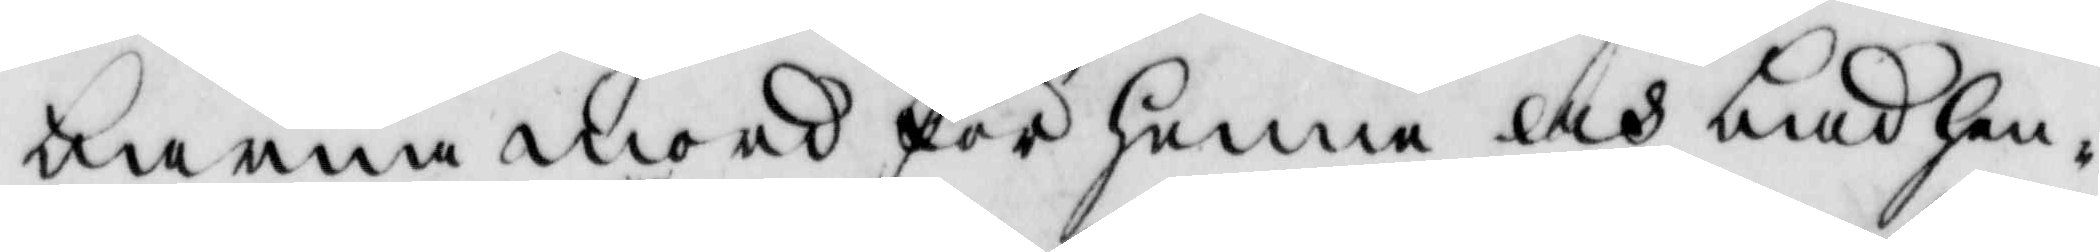barnamord för henne och bad hen¬
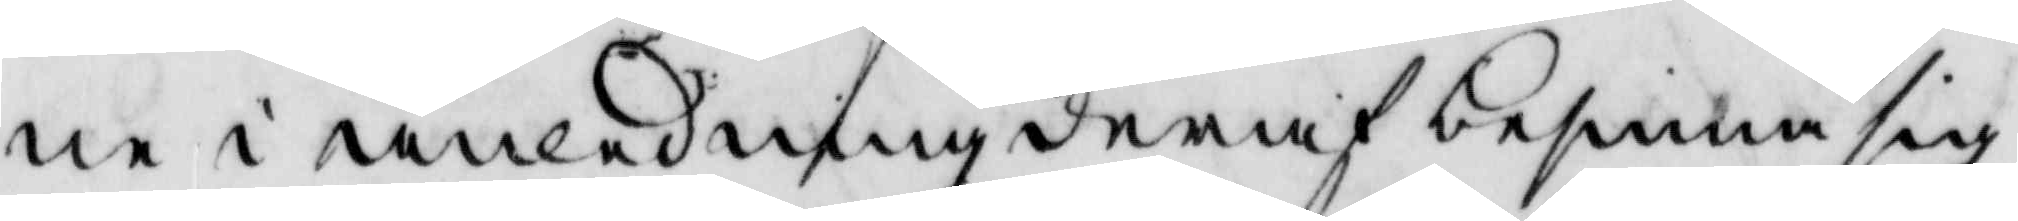ne i anledning deraf besinna sig
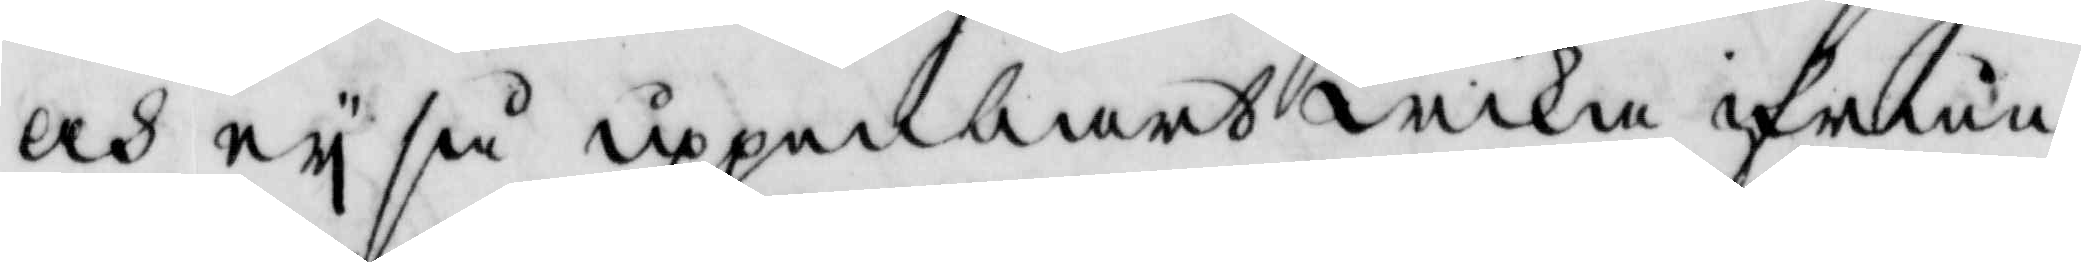och ey så uppenbart wika ifrån
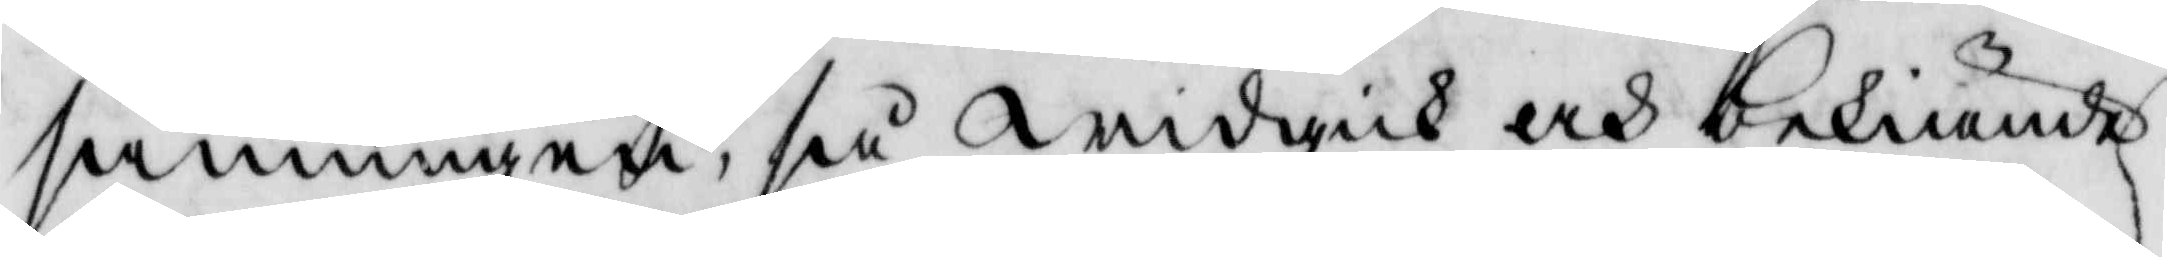sanningen, så widgick och bekiände
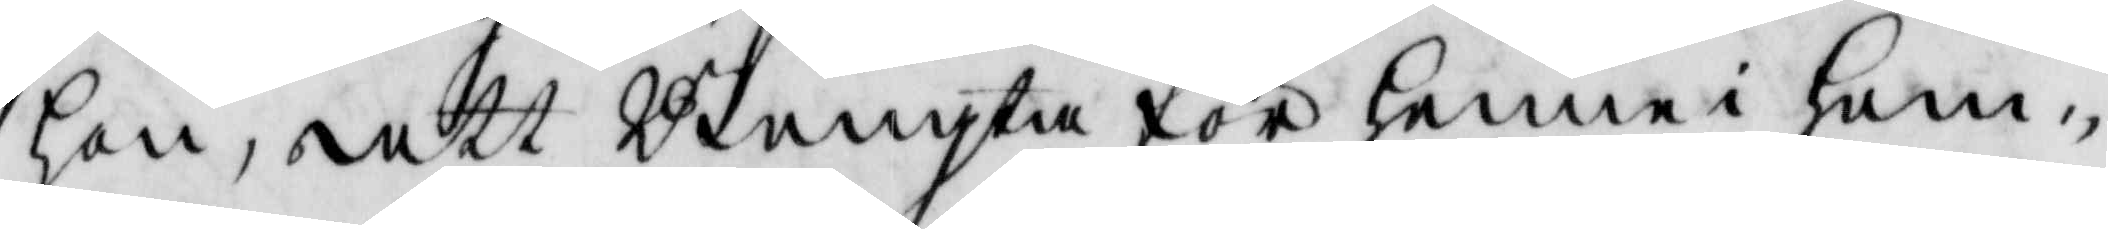hon, att Bengta för henne i hem¬
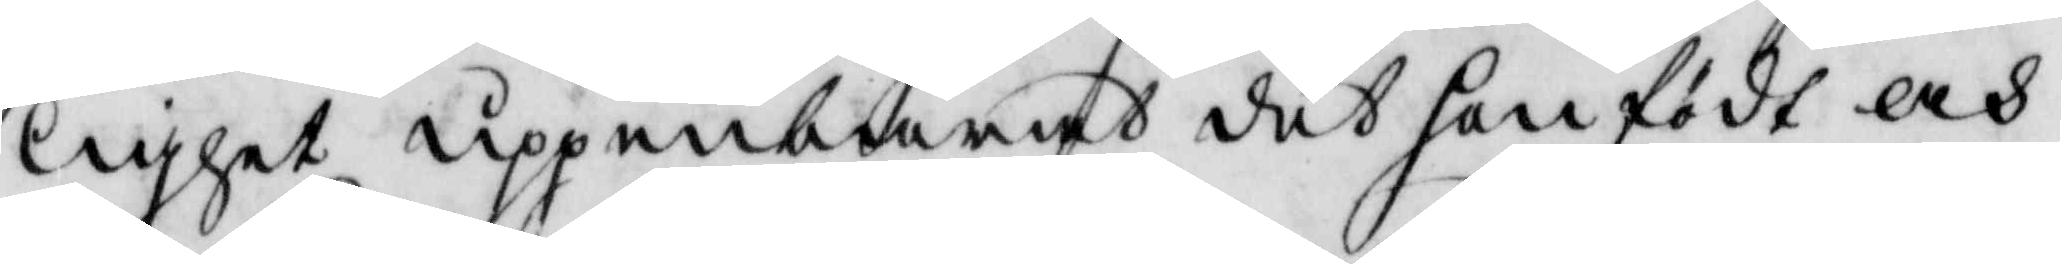lighet uppenbarat det hon födt och
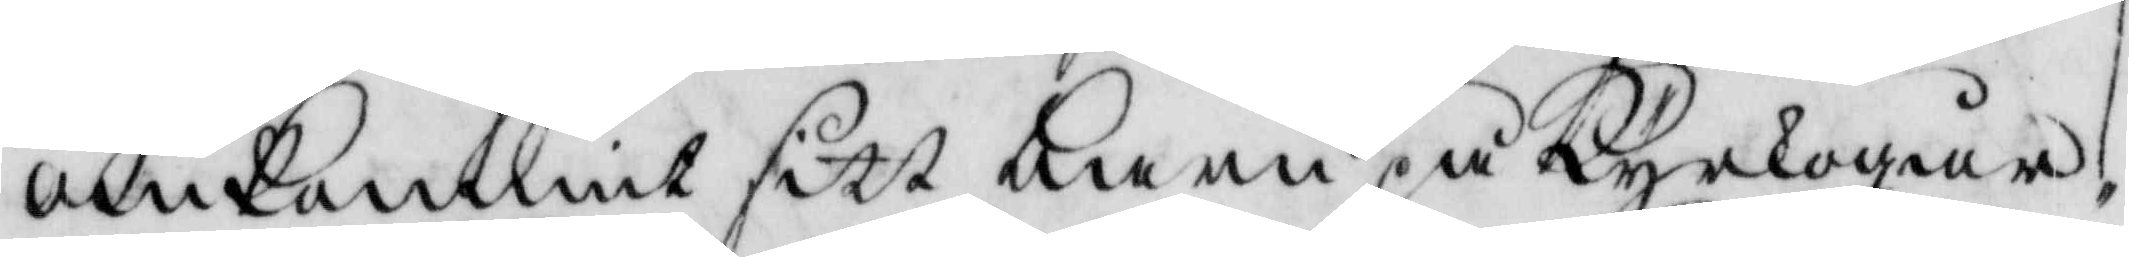omkommit sitt barn på Kyrkogård¬
